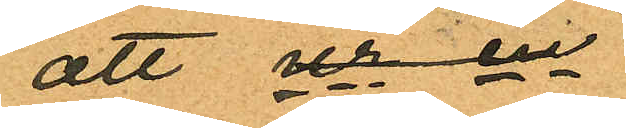att ur en
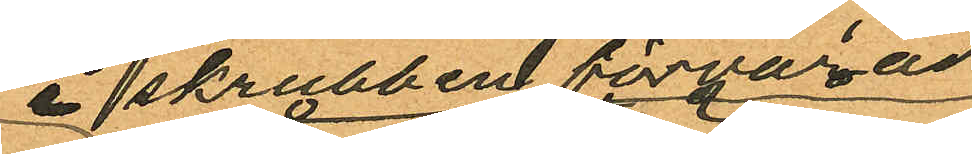i skrubben förvarad
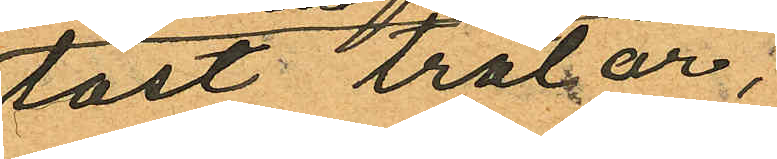låst trälår,
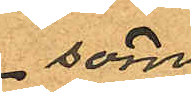som
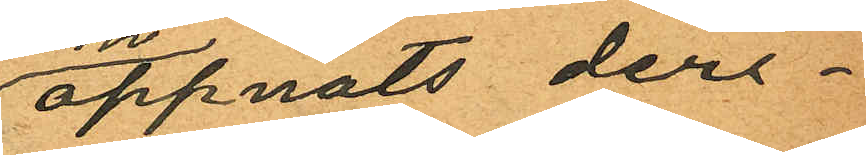öppnats deri¬
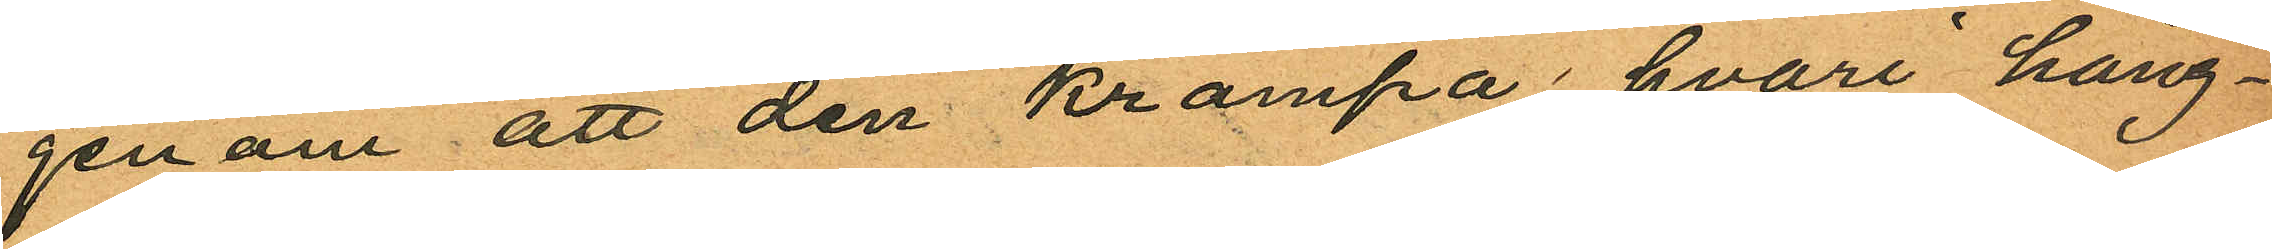genom att den krampa hvari häng¬
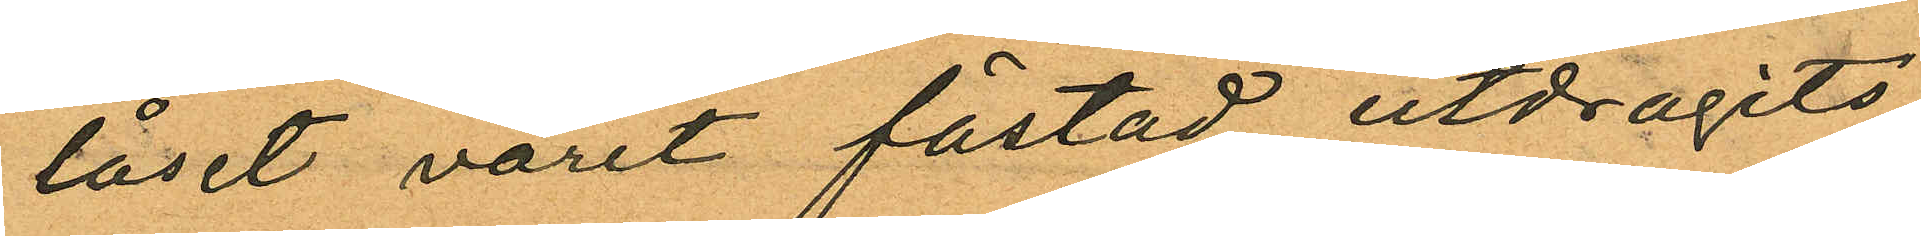låset varit fästad utdragits,
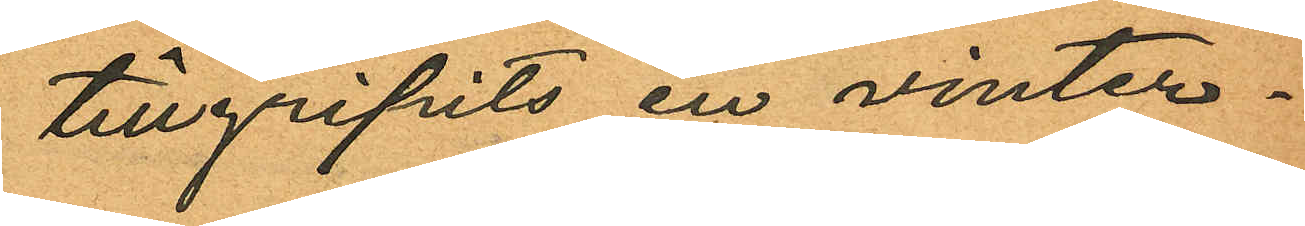tillgripits en vinter¬
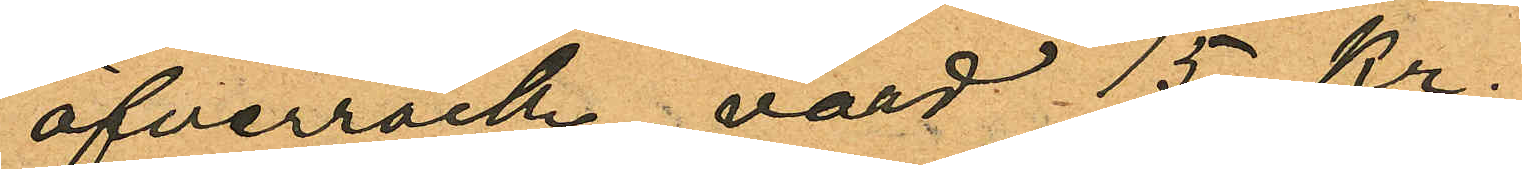öfverrock värd 15 kr.
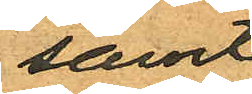samt
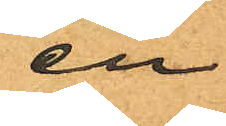en
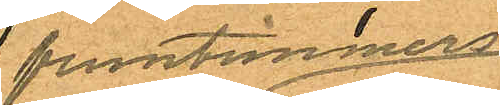fruntimmers¬
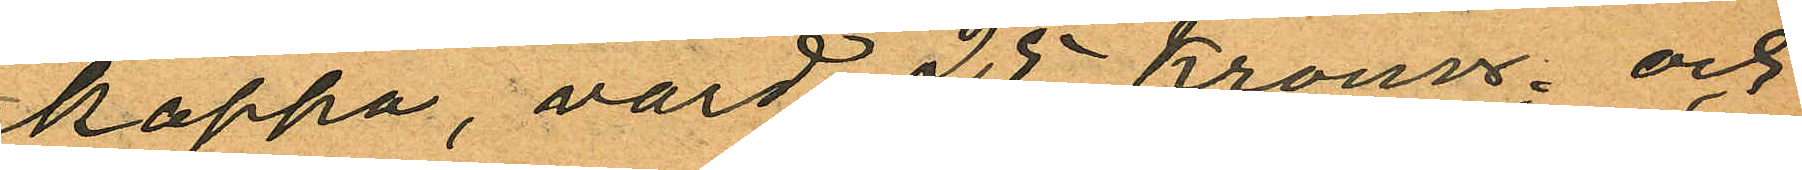kappa, värd 25 kronor och
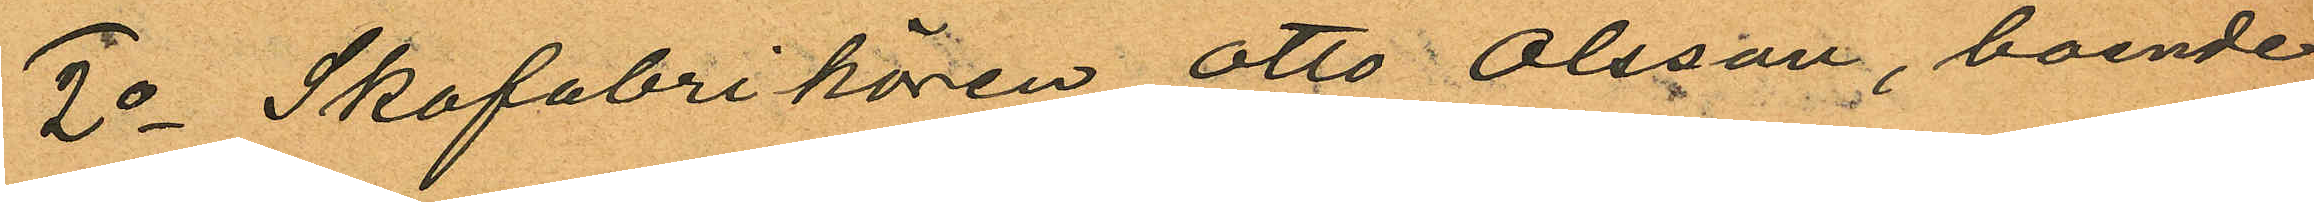2o Skofabrikören Otto Olsson, boende
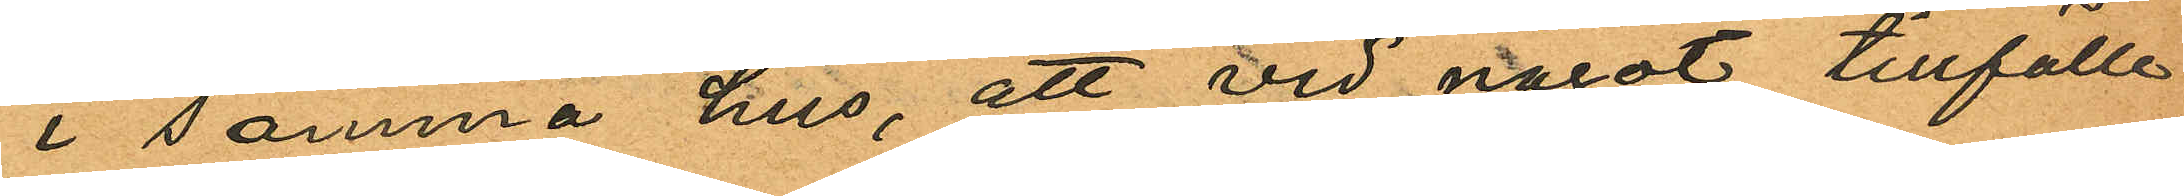i samma hus, att vid något tillfälle
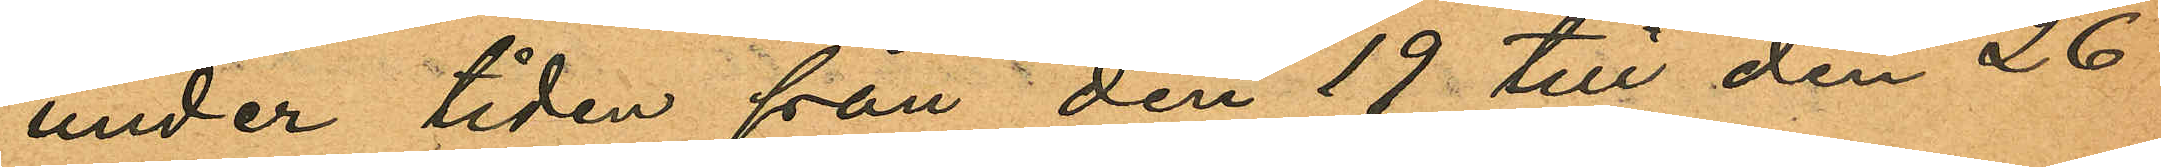under tiden från den 19 till den 26
